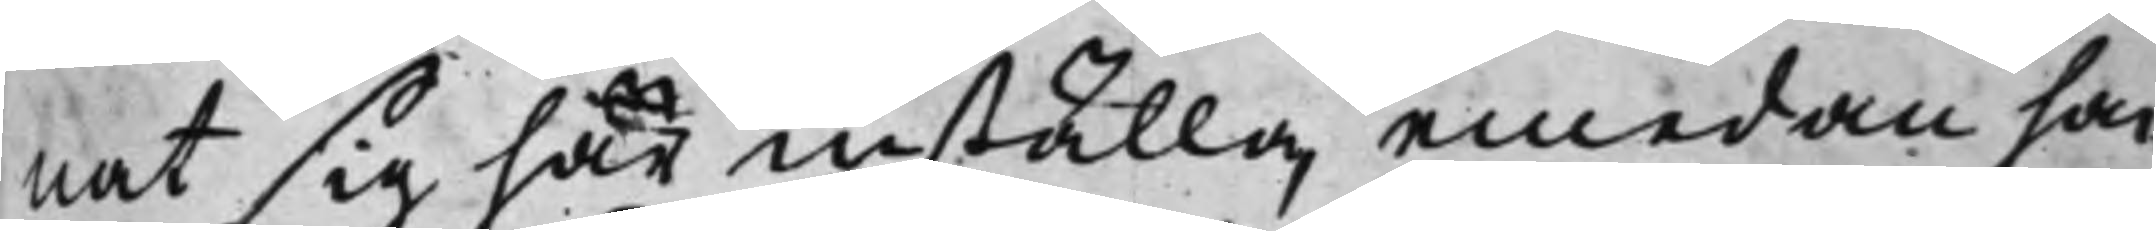nat sig här inställa, emedan han
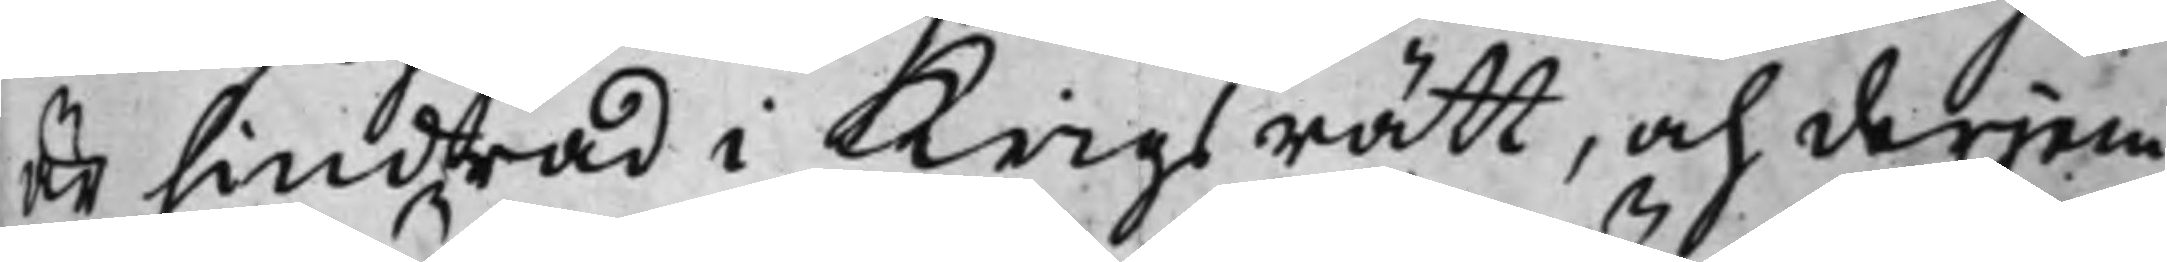är hindrad i Krigsrätt, och derjem¬
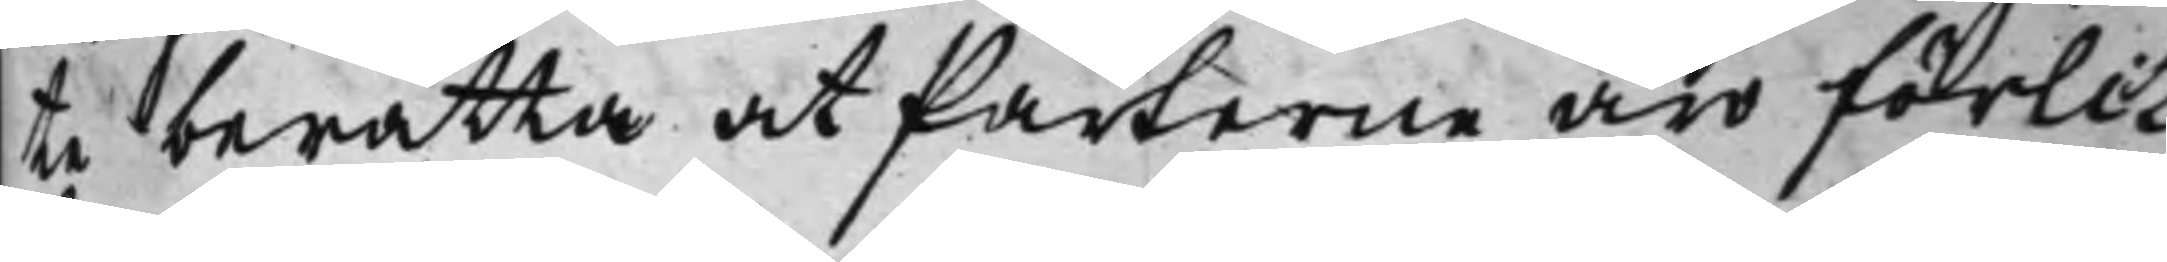te berätta at Parterne äro förlik¬
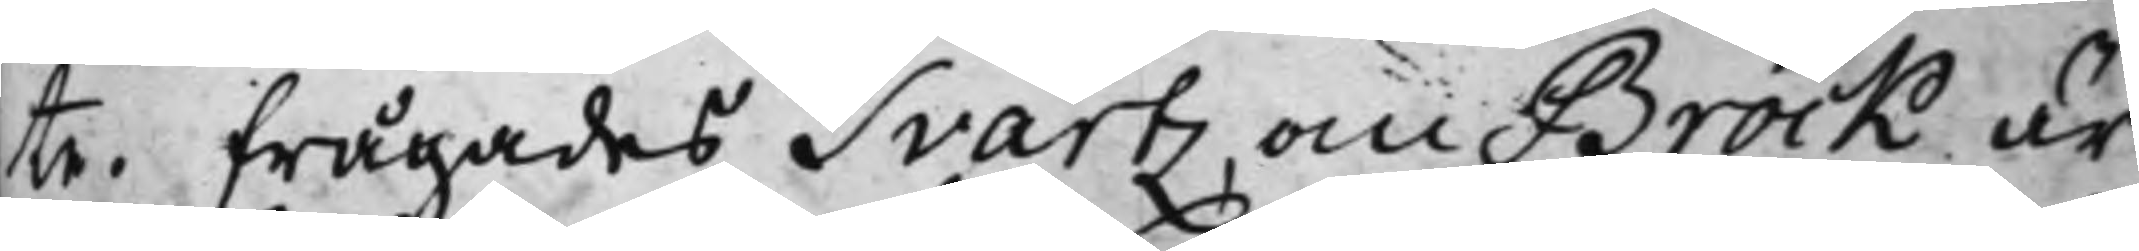te. Frågades Svartz om Brock är
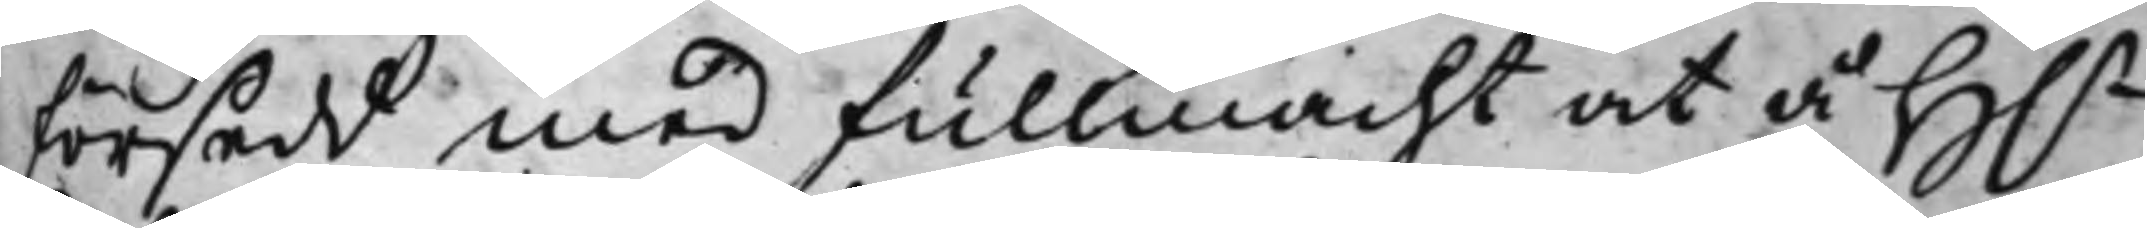försedd med fullmacht at å H.r
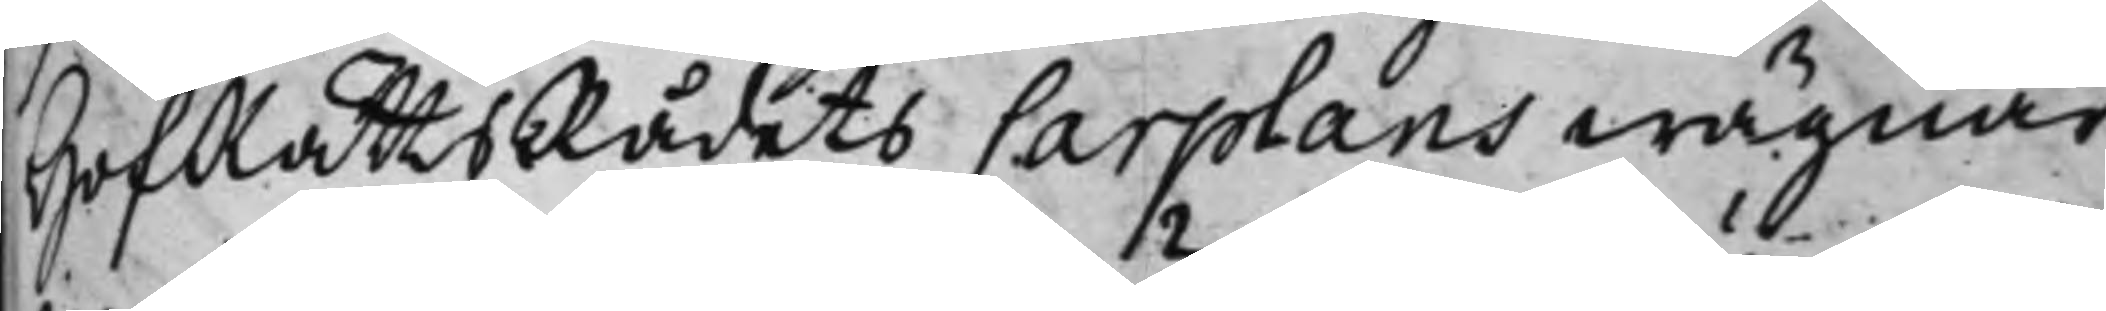HofRättsRådets Carplans wägnar
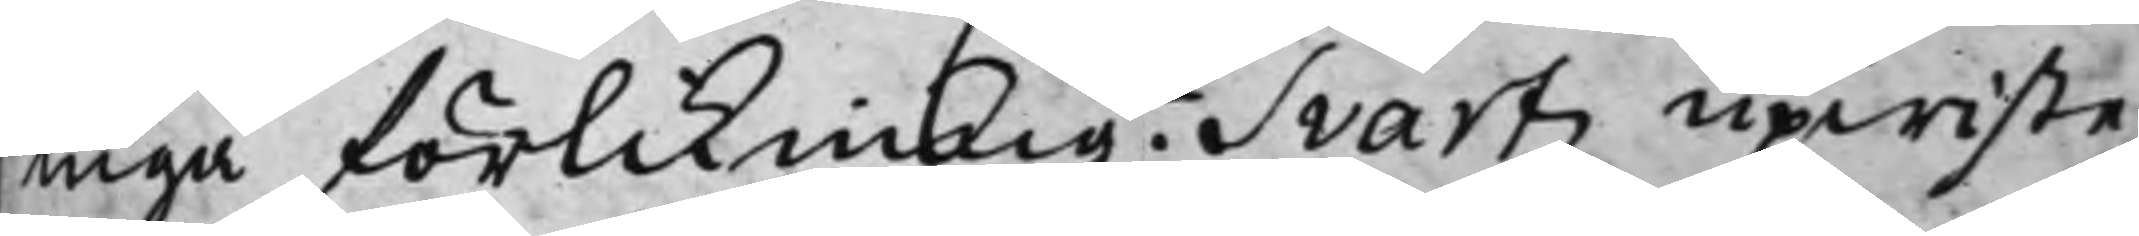ingå förlikning? Svartz upwiste
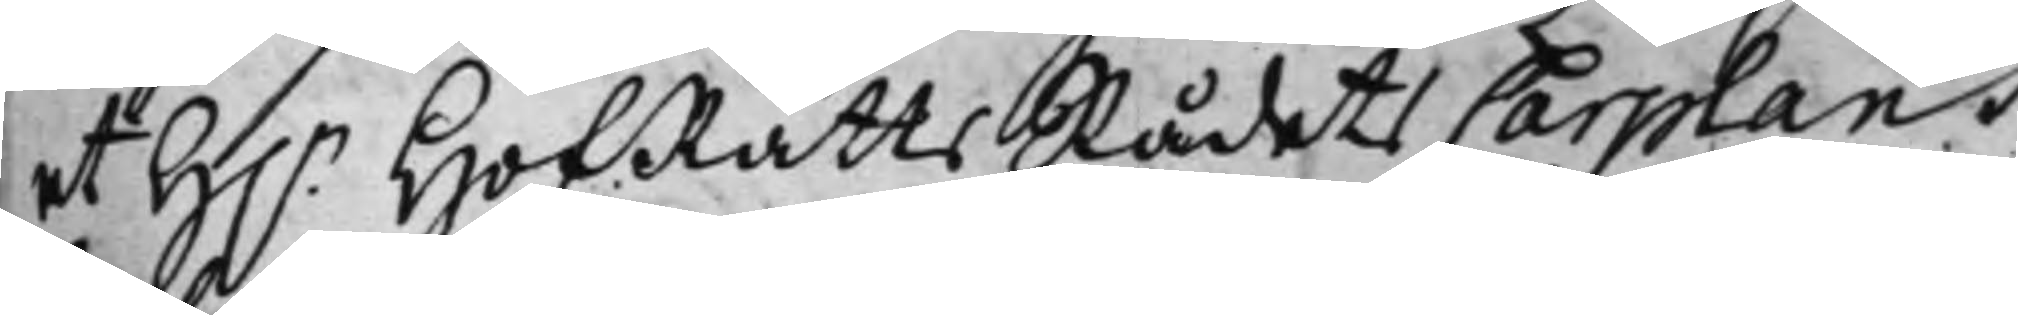et H.r HofRättsRådets Carplans
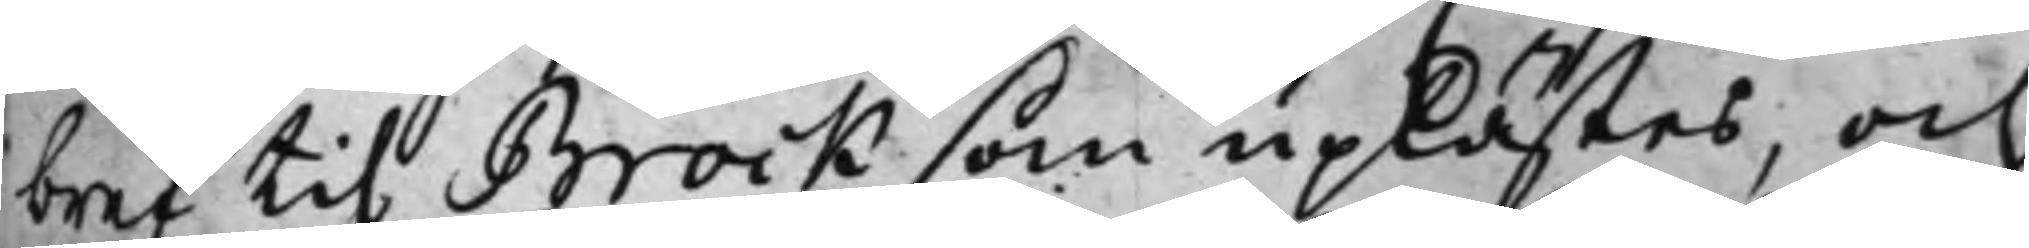bref til Brock som uplästes, och
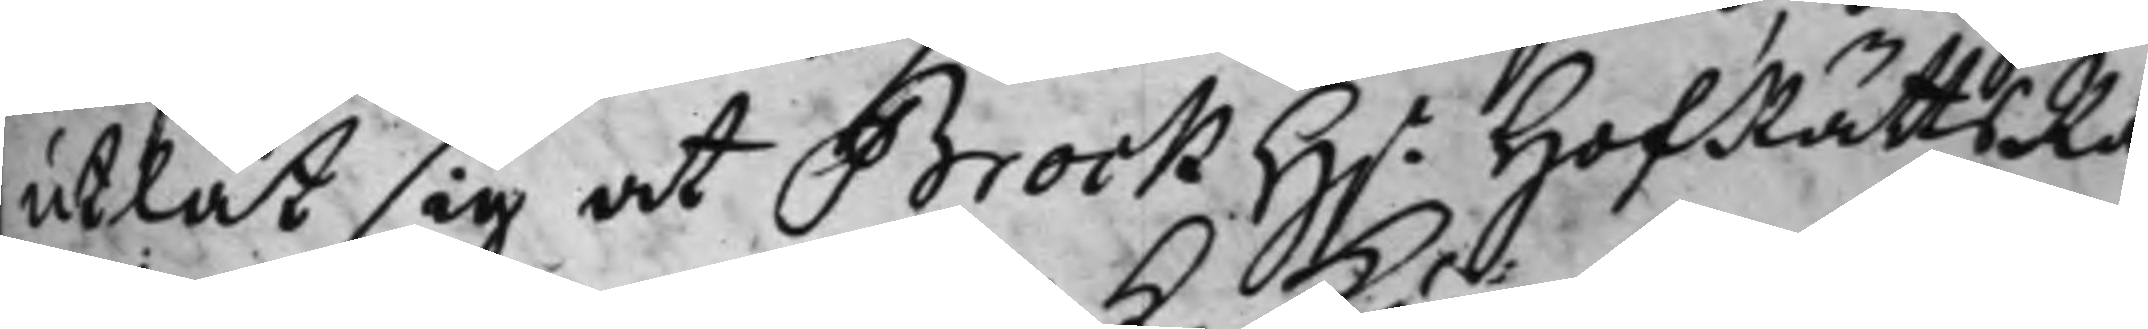utlät sig at Brock H.r HofRättsRå¬
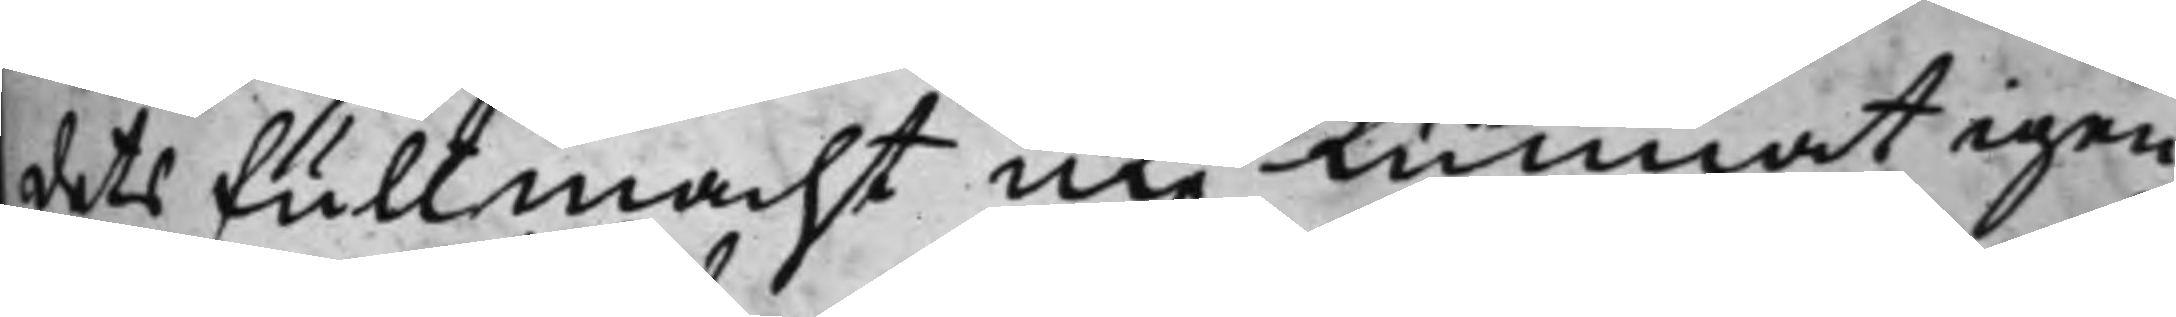dets Fullmacht icke Kunnat igen
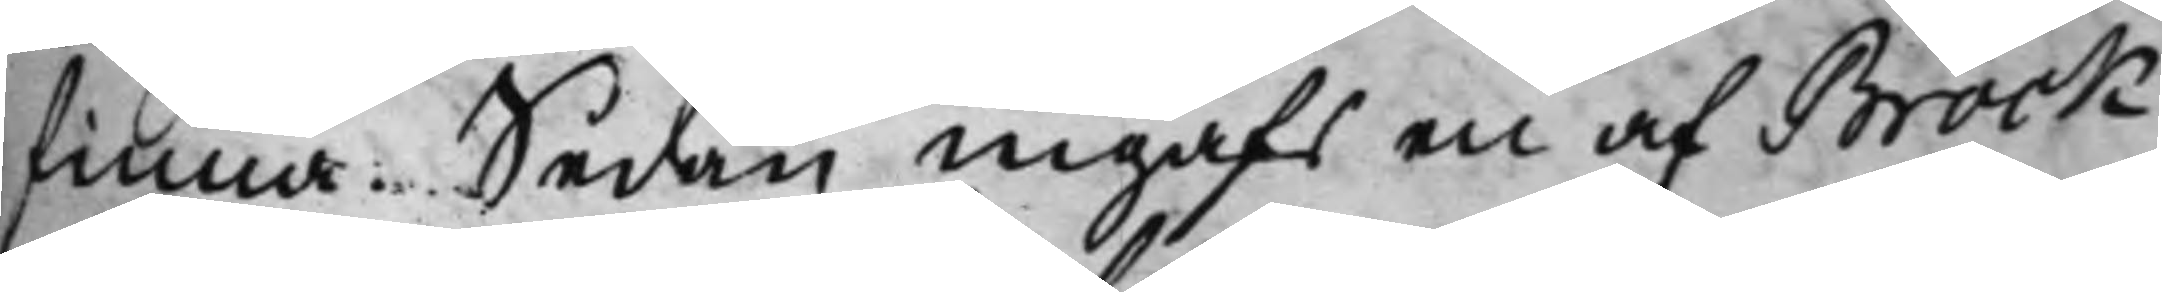finna. Sedan ingafs en af Brock
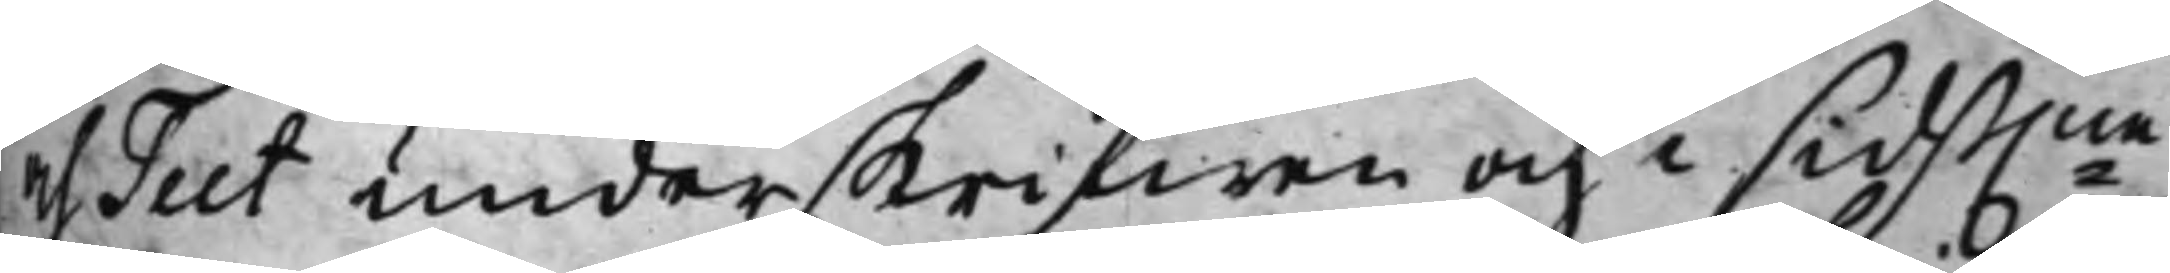och Teet underskrifwen och i sidst.ne
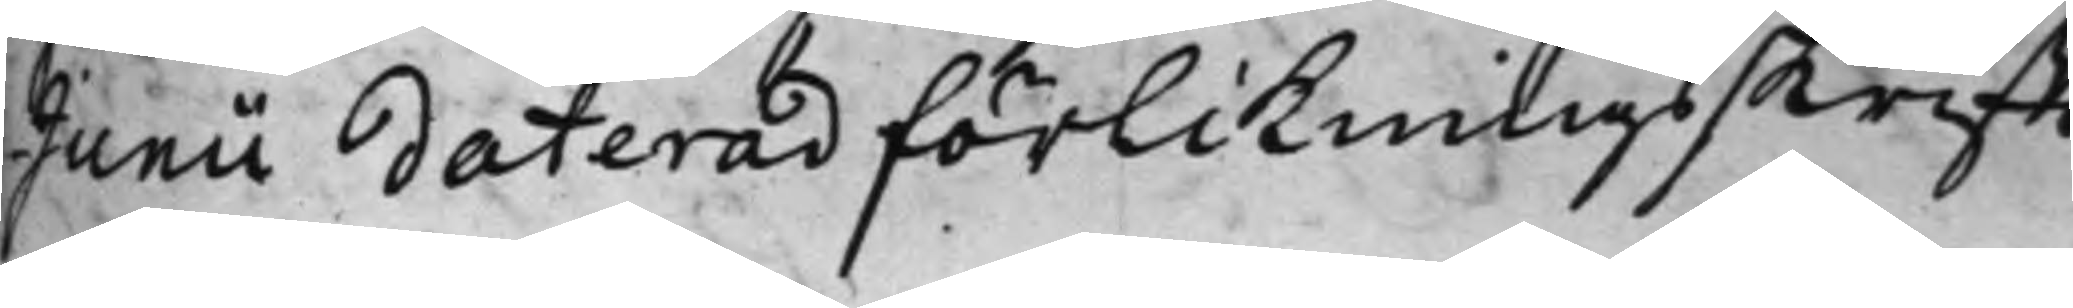Junii daterad förlikningsskrifft,
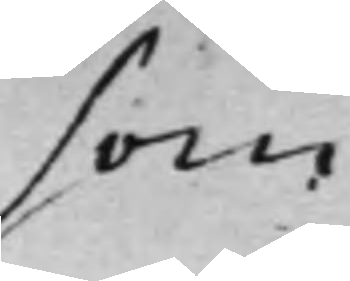som
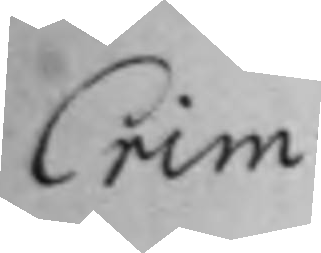Crim:
